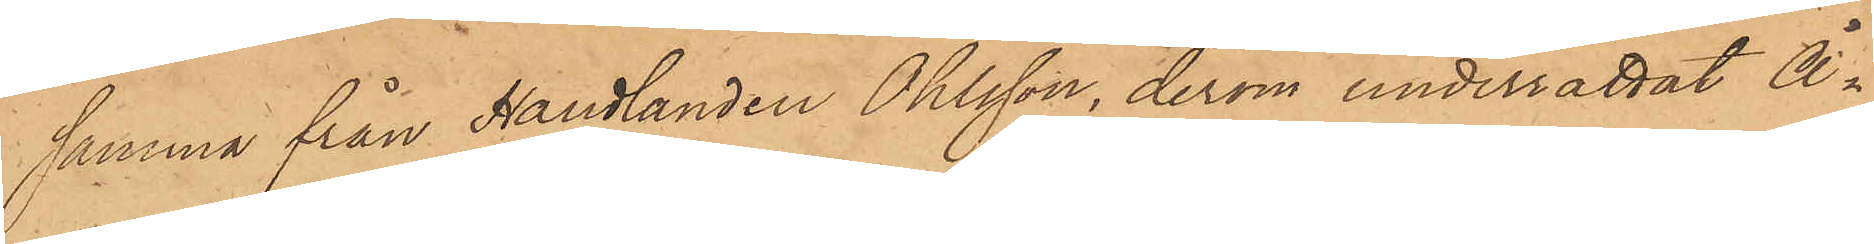samma från Handlanden Ohlsson, derom underrättat Å¬
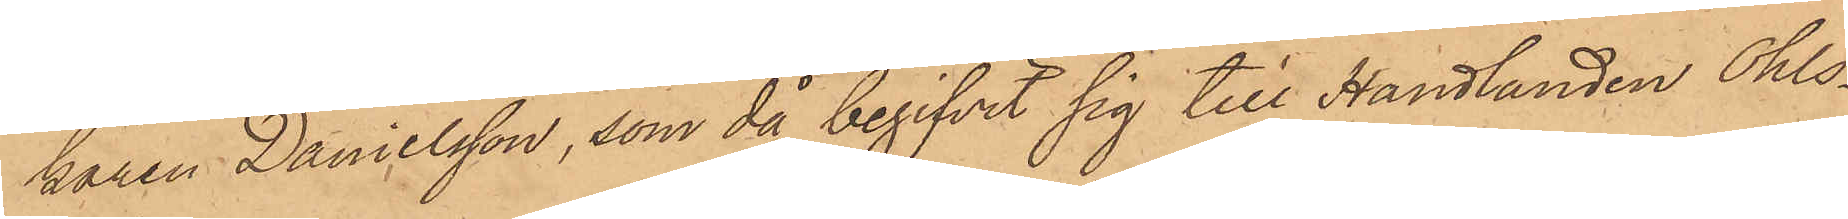karen Danielsson, som då begifvit sig till Handlanden Ohls¬
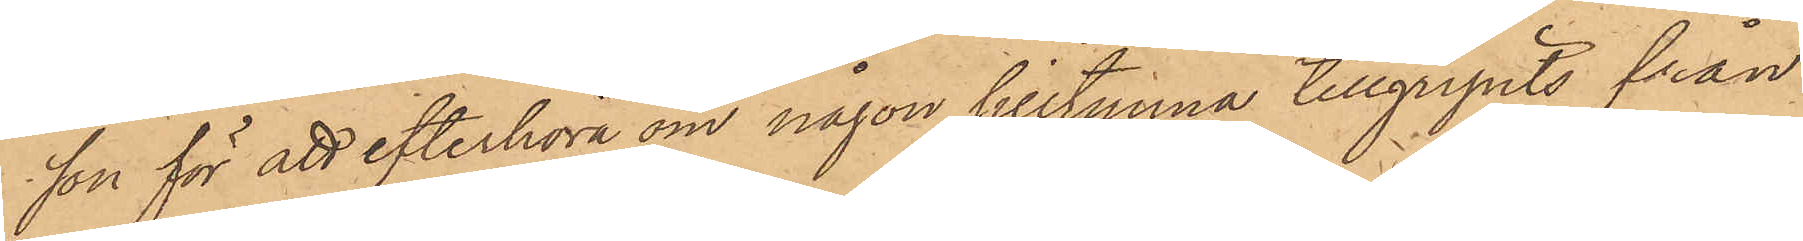son för att efterhöra om någon silltunna tillgripits från
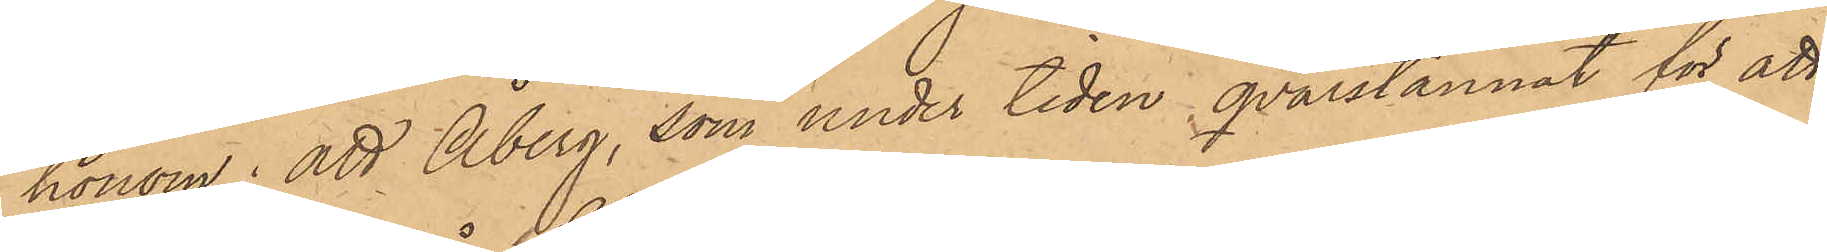honom; att Åberg, som under tiden qvarstannat för att
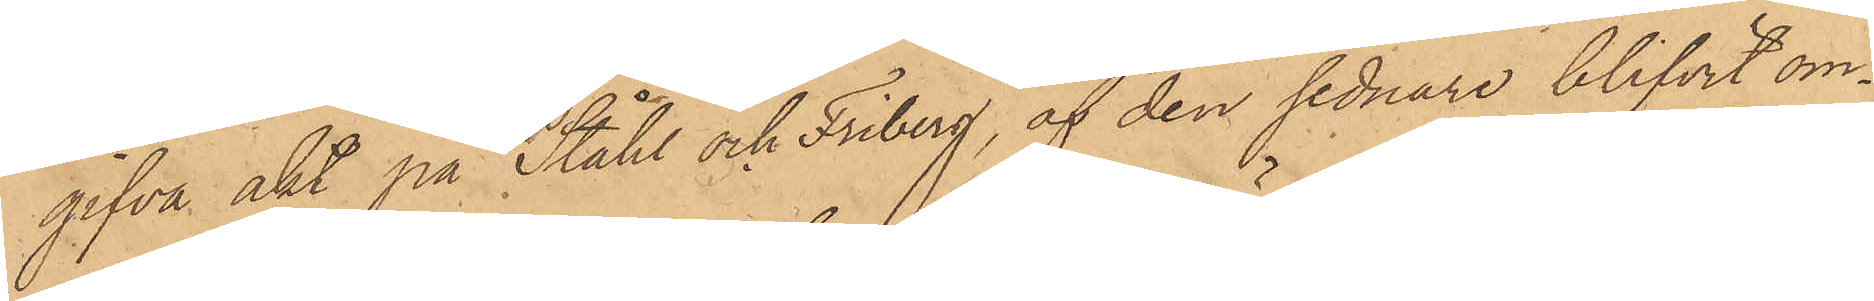gifva akt på Ståhl och Friberg, af den sednare blifvit om¬
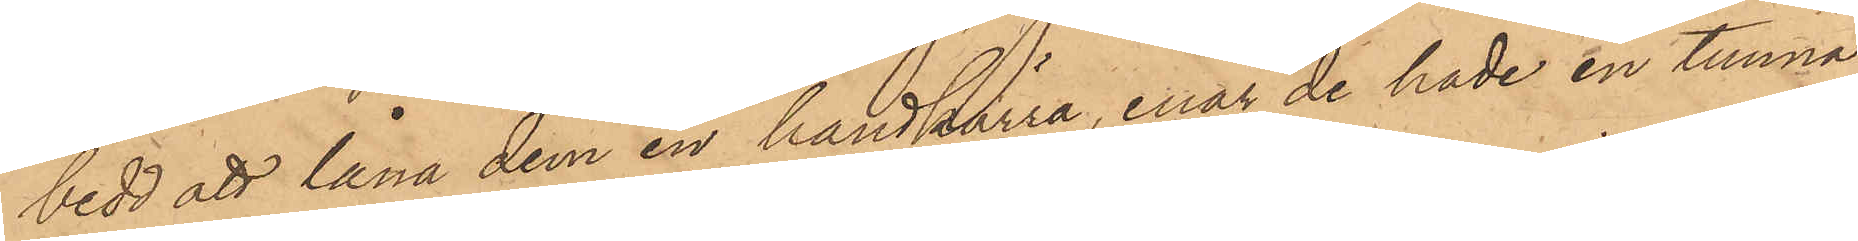bedd att låna dem en handkärra, enär de hade en tunna
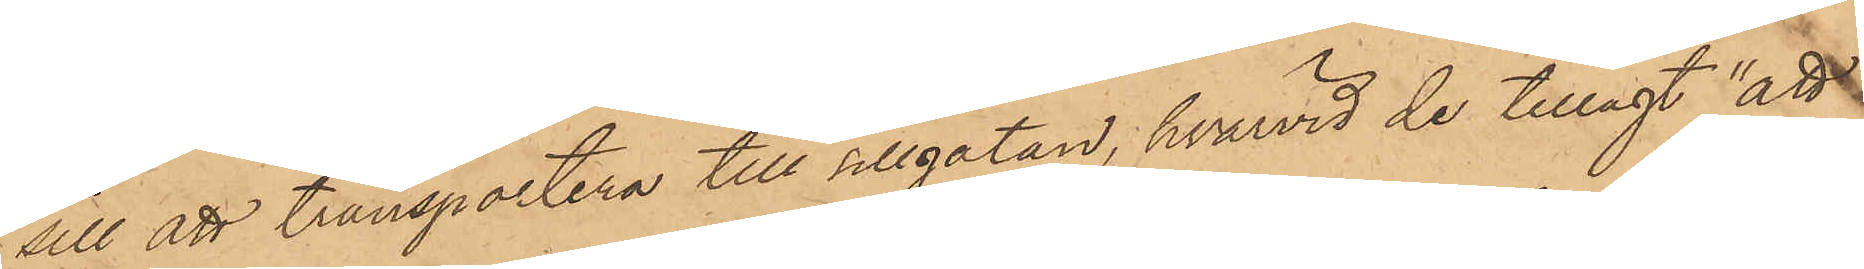sill att transportera till Sillgatan, hvarvid de tillagt "att
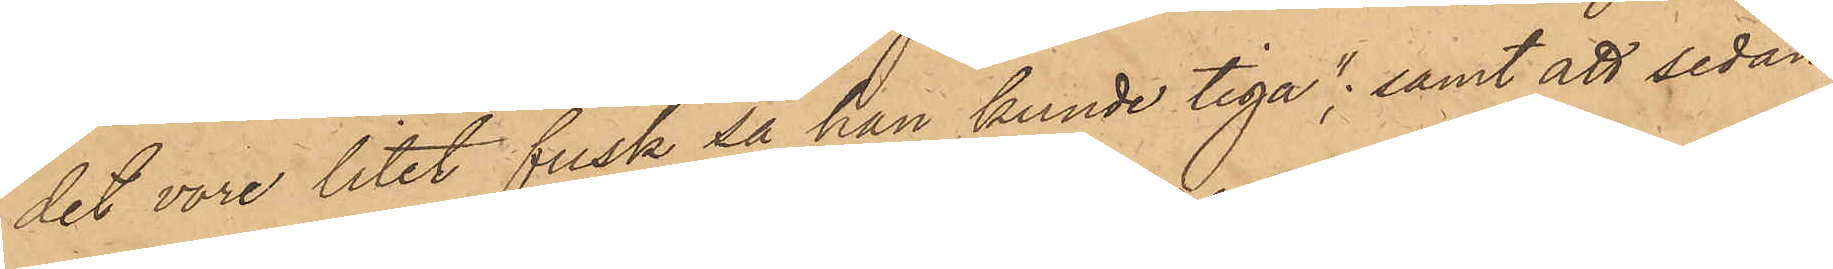det vore litet fusk så han kunde tiga"; samt att sedan
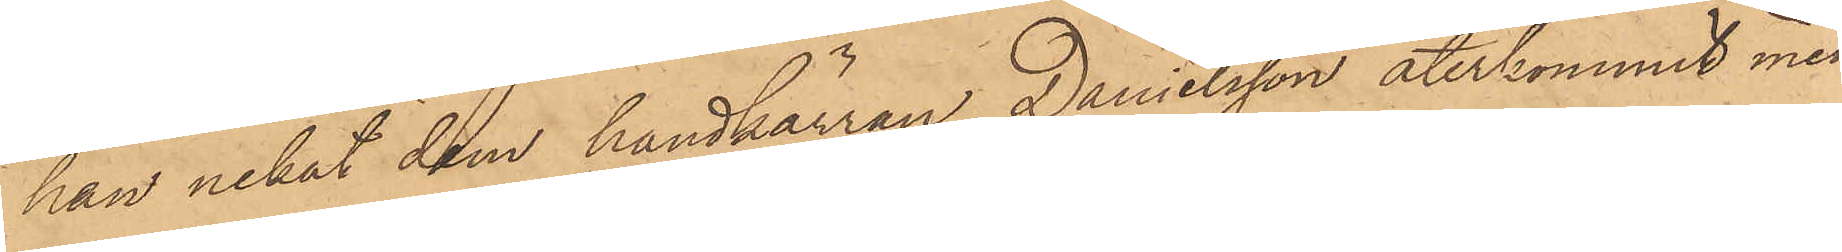han nekat dem handkärran, Danielsson återkommit med
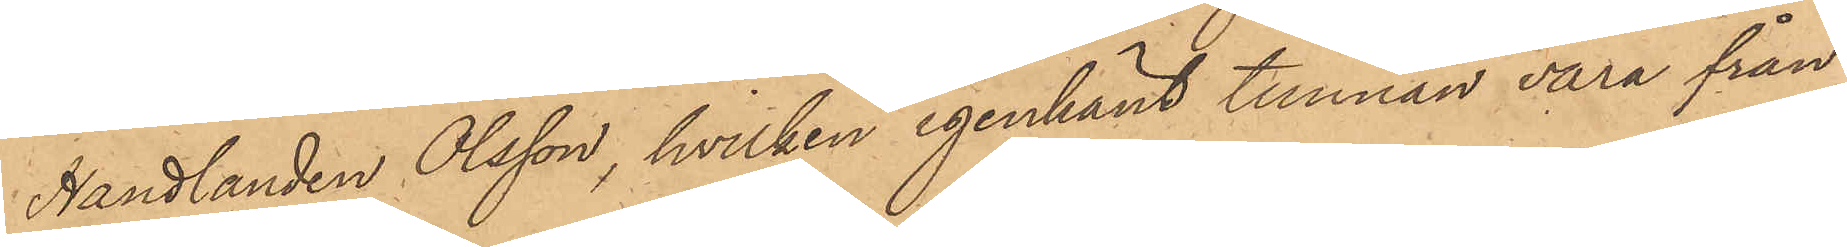Handlanden Olsson, hvilken igenkänt tunnan vara från
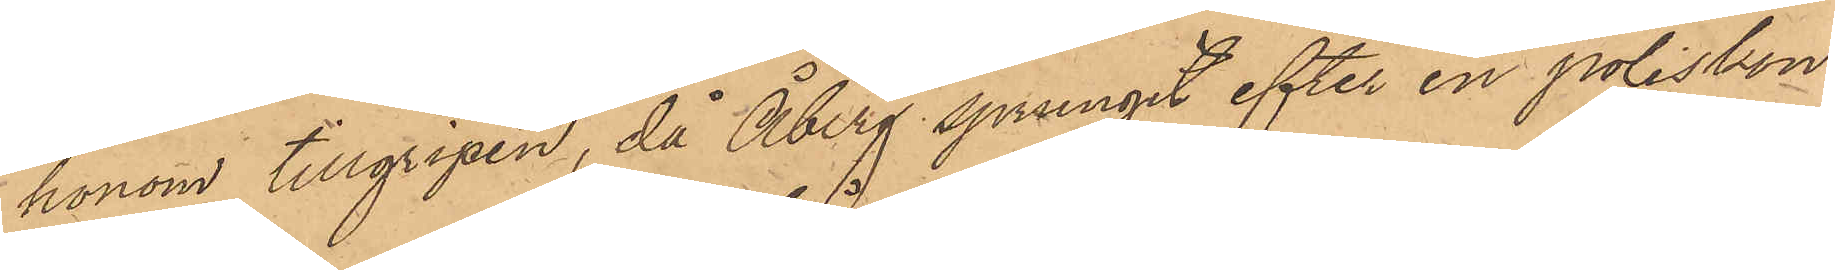honom tillgripen, då Åberg sprungit efter en poliskon¬
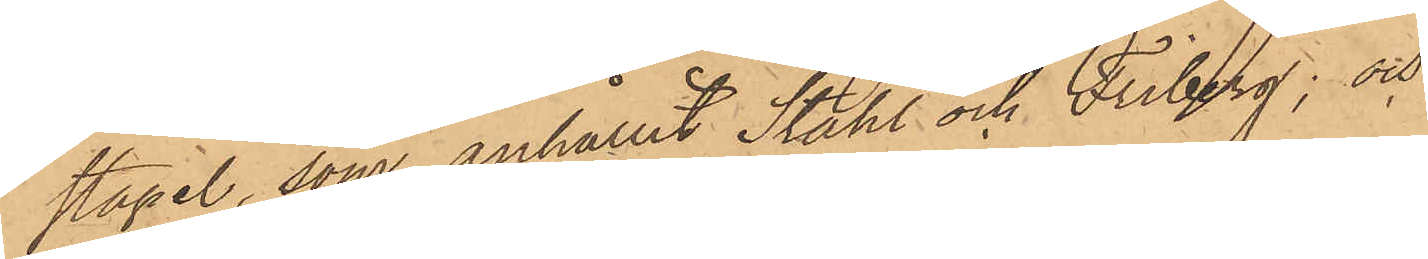stapel, som anhållit Ståhl och Friberg; och
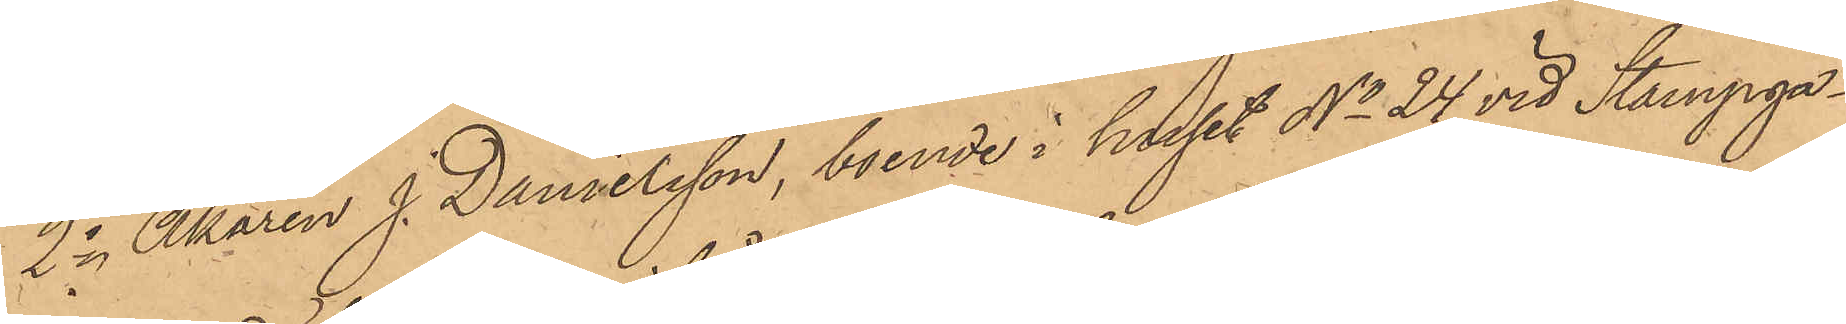2o Åkaren J. Danielsson, boende i huset No 24 vid Stampga¬
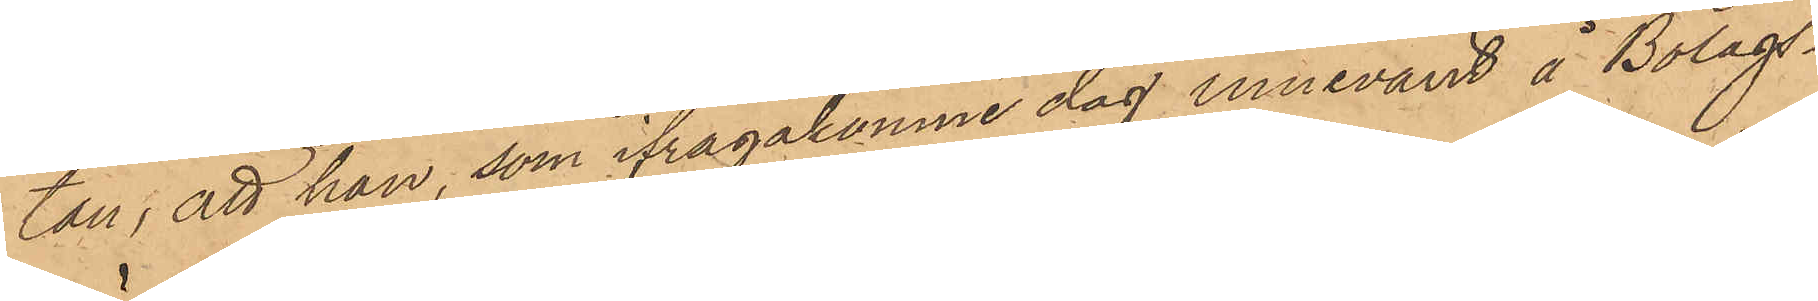tan, att han, som ifrågakomne dag innevarit å Bolags¬
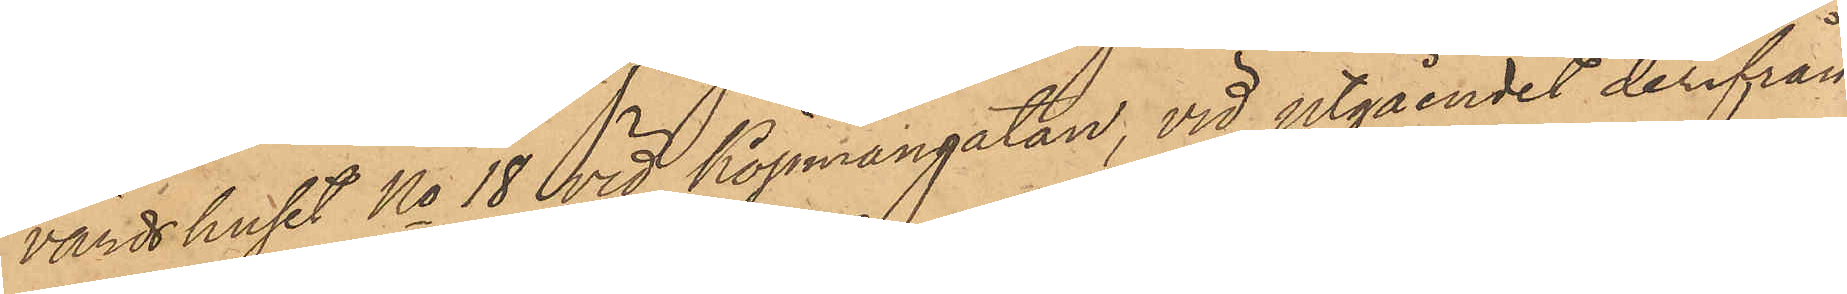värdshuset No 18 vid Köpmangatan, vid utgåendet derifrån
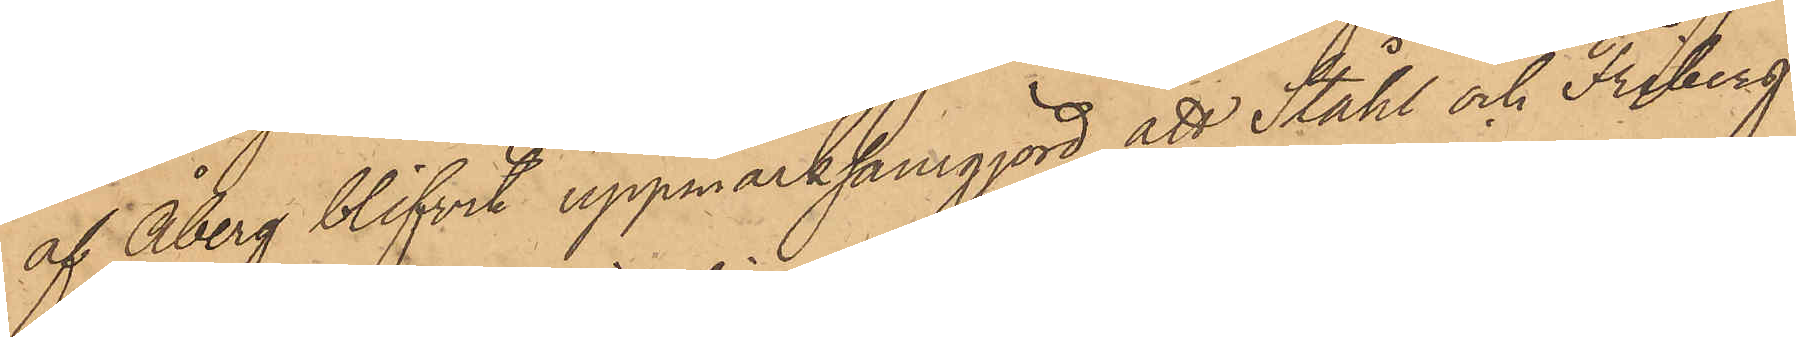af Åberg blifvit uppmärksamgjord att Ståhl och Friberg
